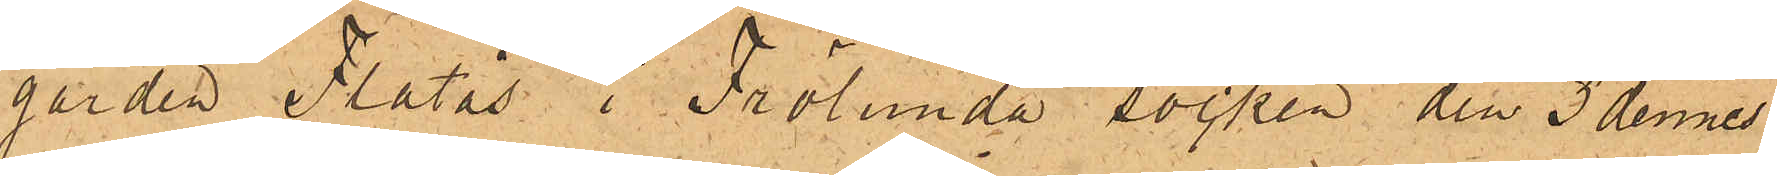gården Flatås i Frölunda socken den 3 dennes
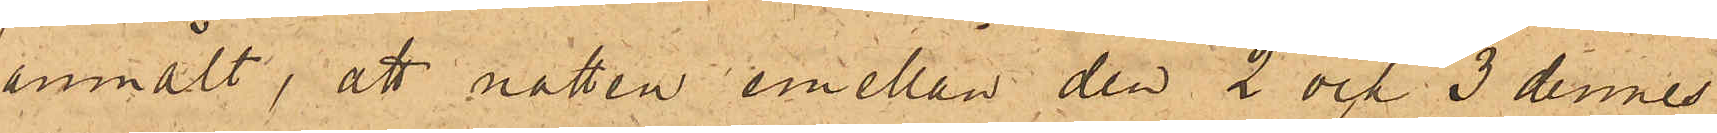anmält, att natten emellan den 2 och 3 dennes
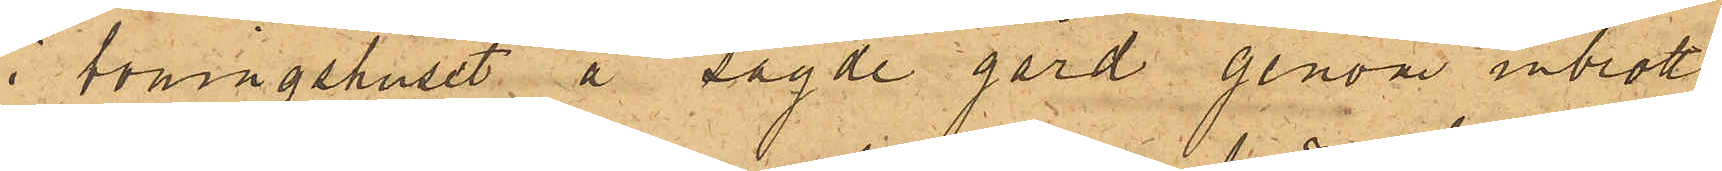i boningshuset å sagde gård genom inbrott
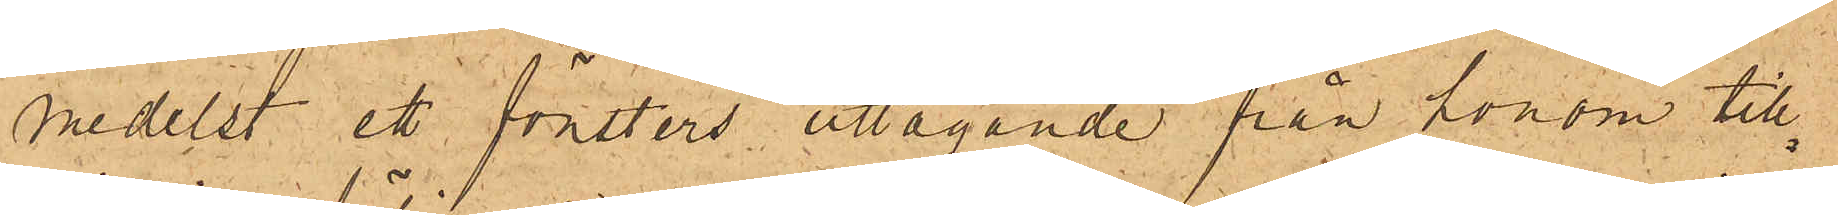medelst ett fönsters uttagande från honom till¬
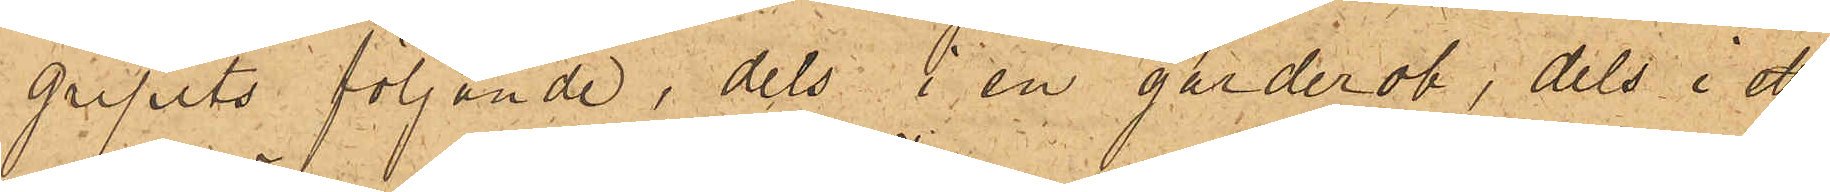gripits följande, dels i en garderob, dels i ett
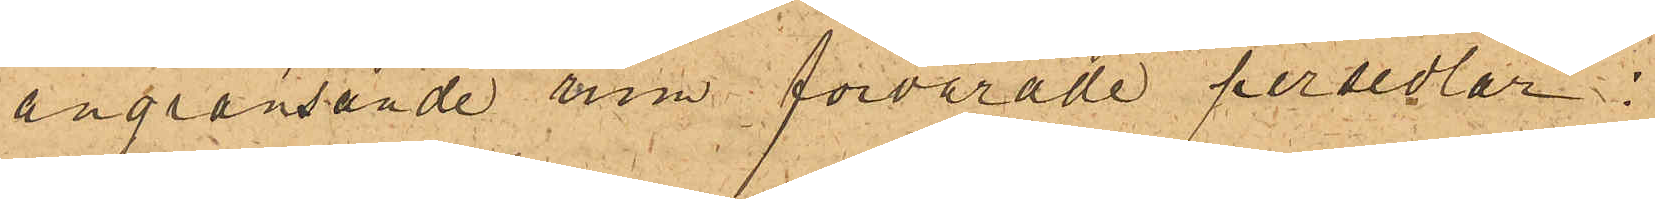angränsande rum förvarade persedlar:
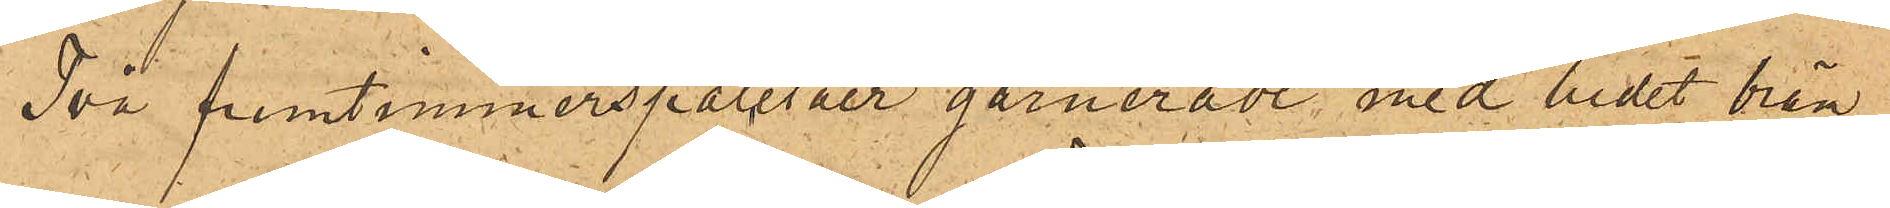Två fruntimmerspaletåer garnerade med bredt bräm
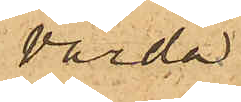värda
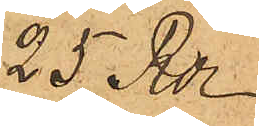25 Rdr
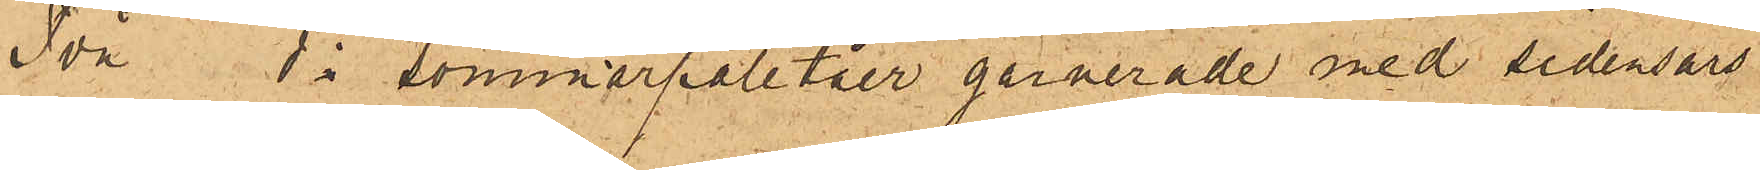Två do sommarpaletåer garnerade med sidensars
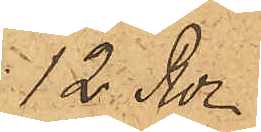12 Rdr
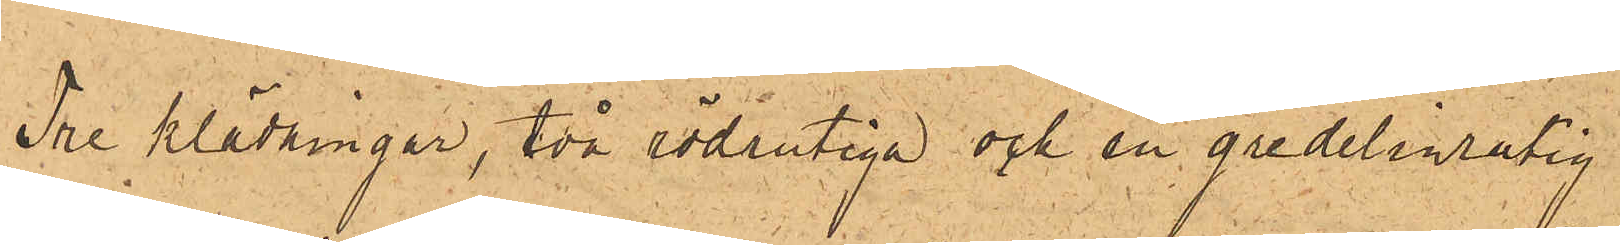Tre klädningar, två södrutiga och en gredelinrutig
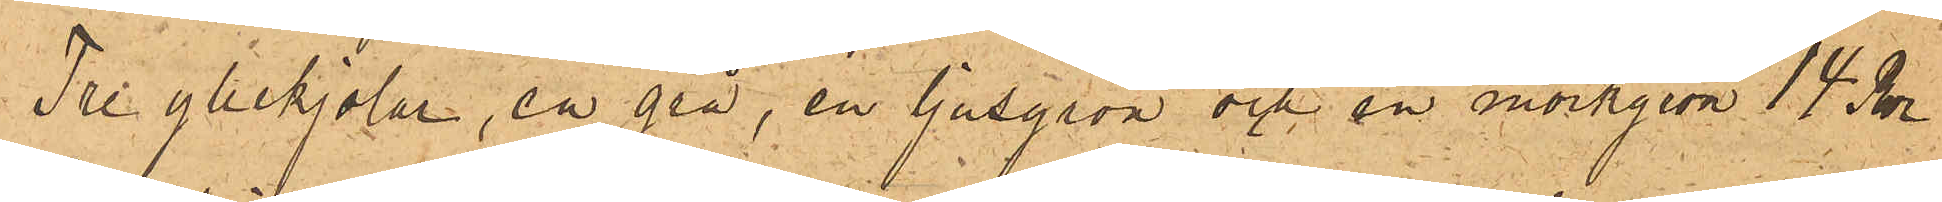Tre yllekjolar, en grå, en ljusgrön och en mörkgrön 14 Rdr
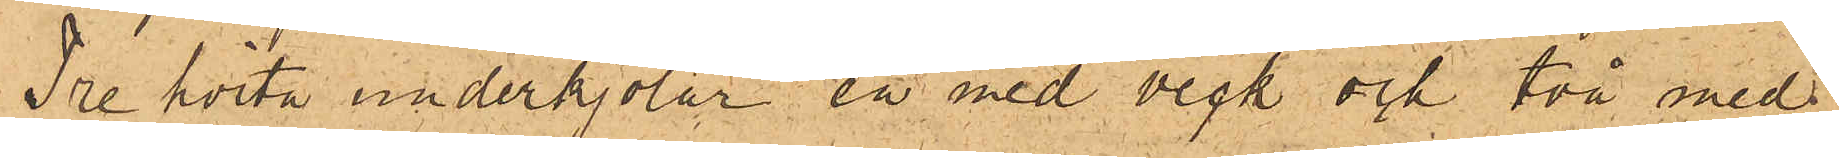Tre hvita underkjolar en med veck och två med
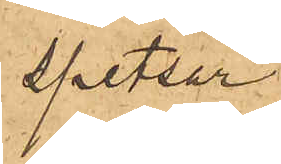spetsar
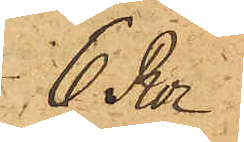6 Rdr
